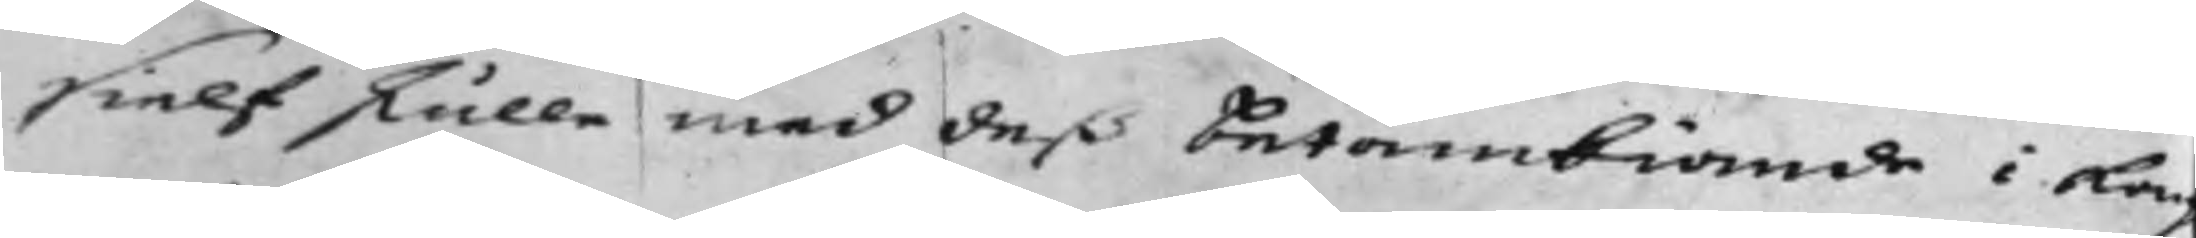sielf skulle med deß Betänkiande i Kong.
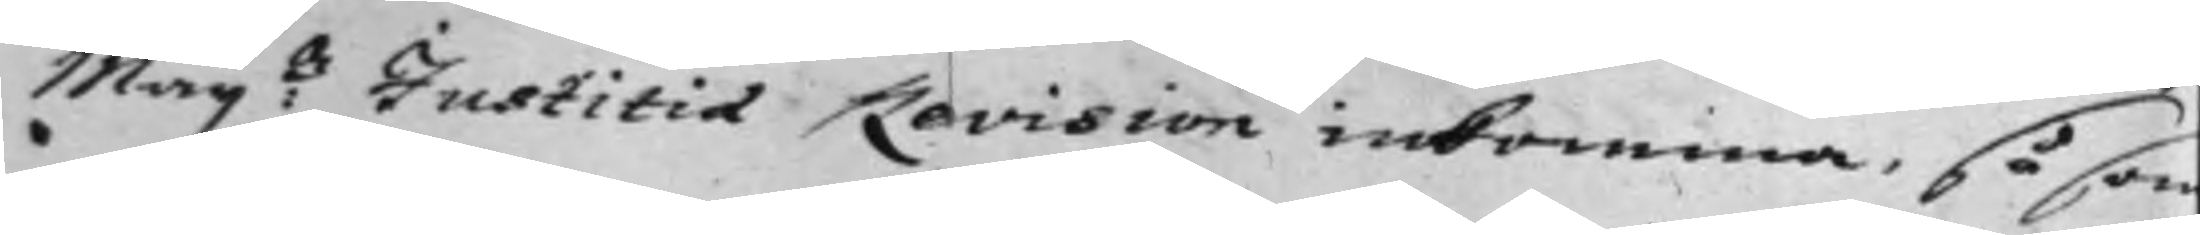Maij:tz Justitiae Revision inkomma, såsom
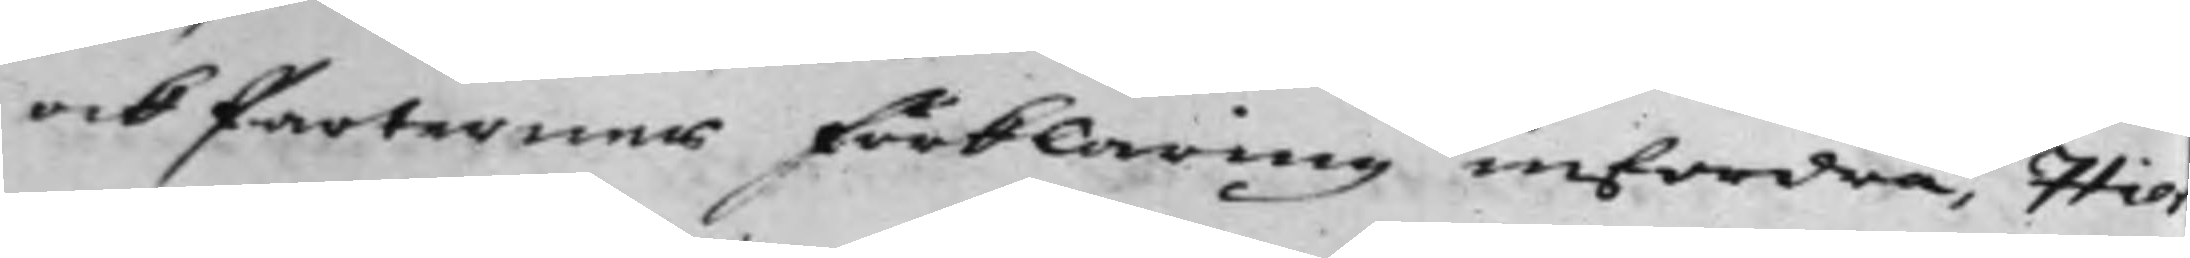ock Parternes förklaring infordra, Hier¬
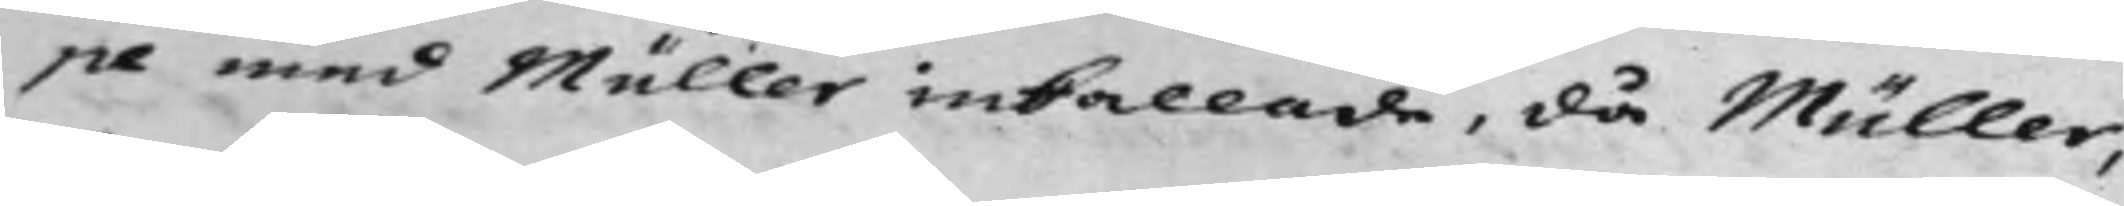pe med Müller inkallade, då Müller,
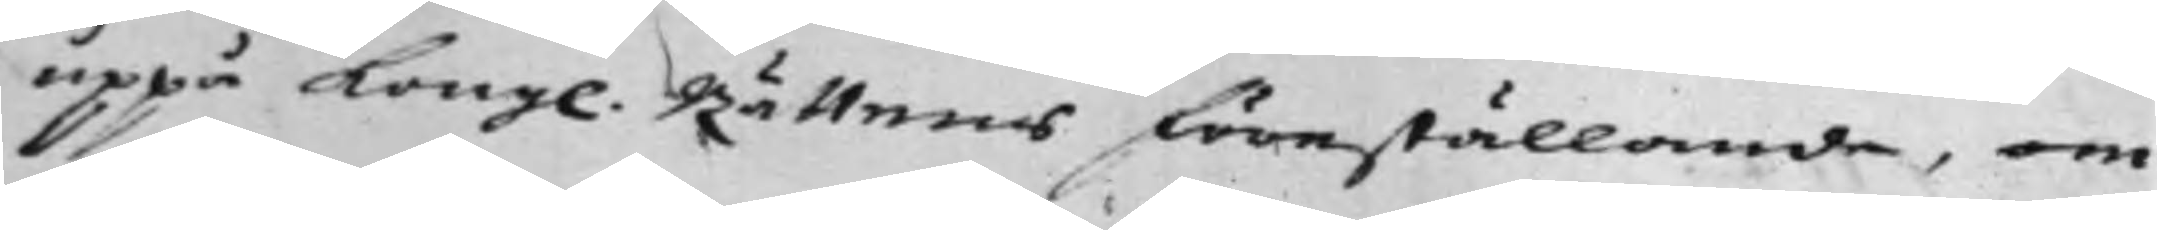uppå Kong. Rättens föreställande, om
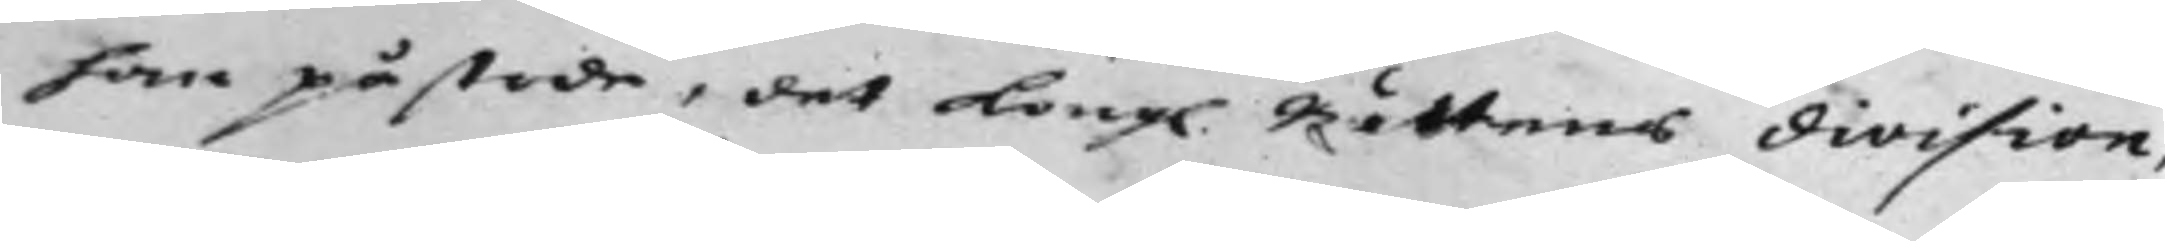han påstode, det Kong. Rättens division,
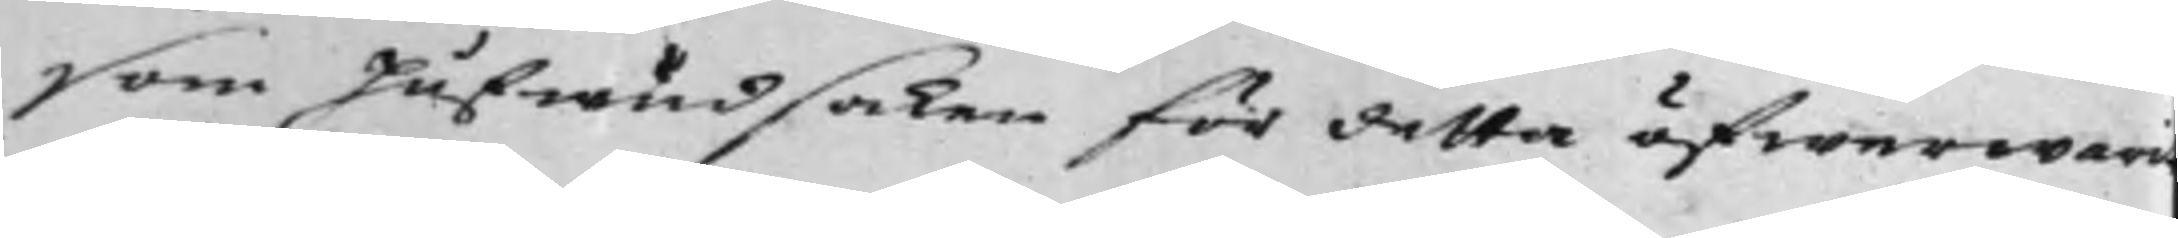som Hufwudsaken för detta öfwerwari
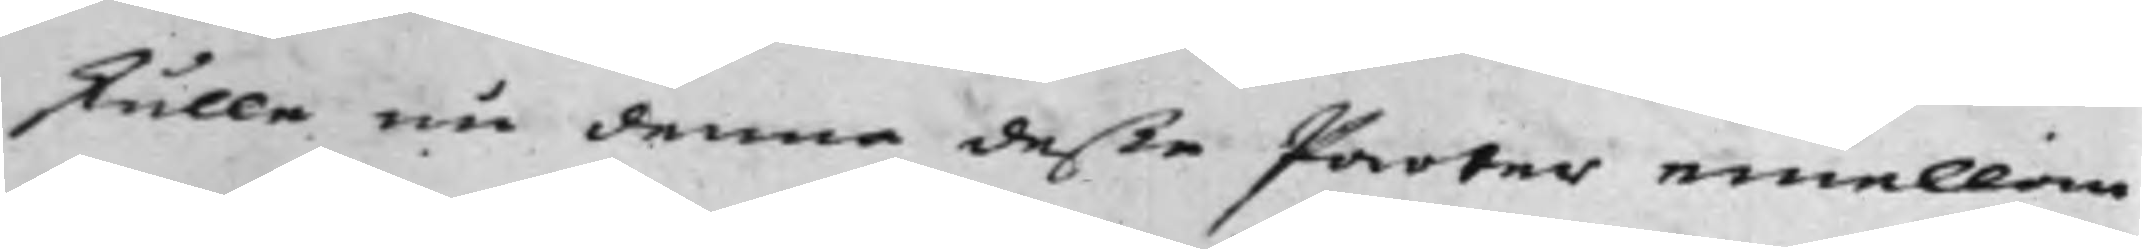skulle nu denna deße Parter emellan
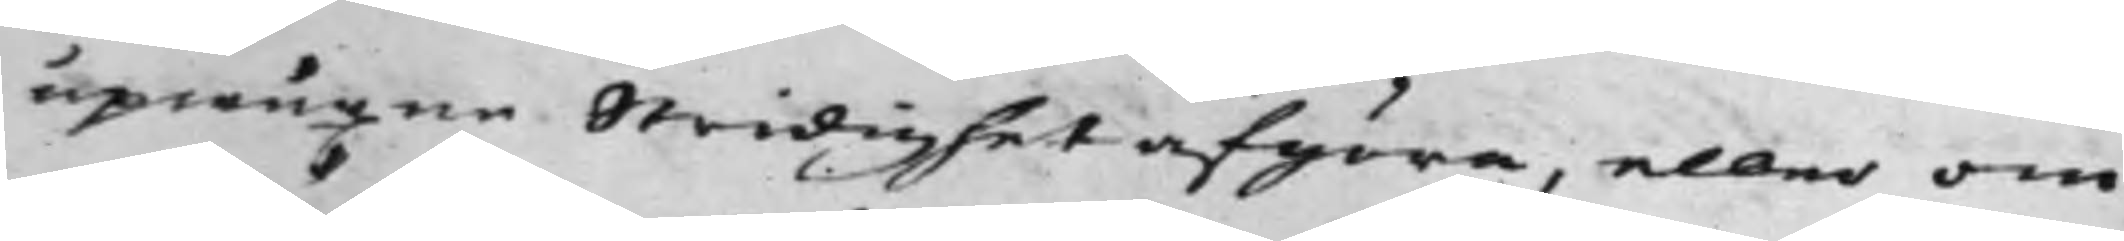upwuxne Stridighet afgöra, eller om
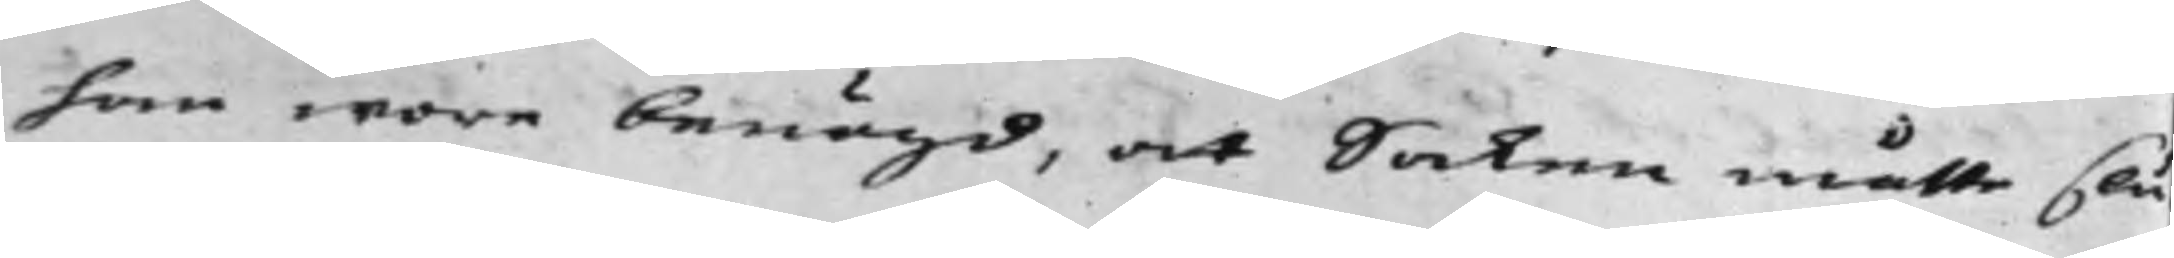han wore benögd, at Saken måtte slu¬
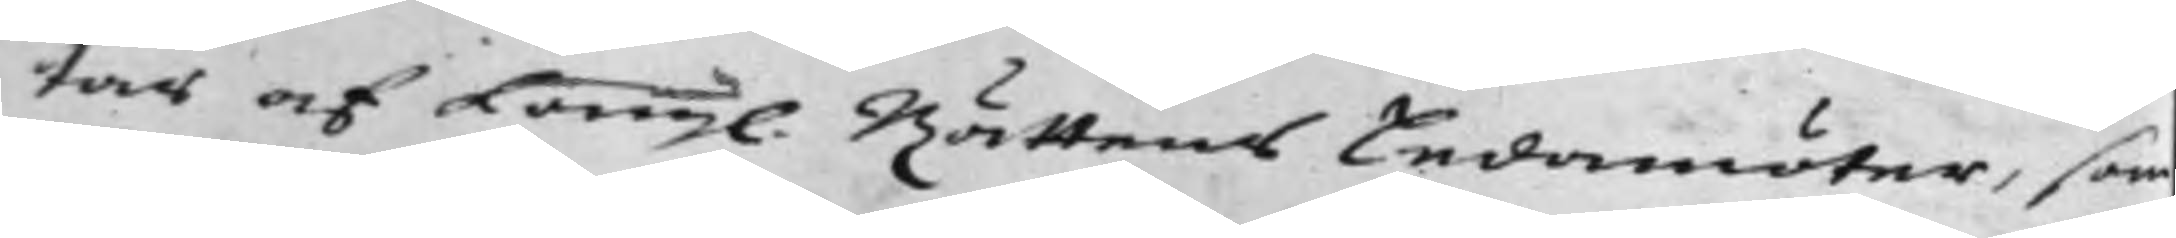tas af Kong. Rättens Ledamöter, som
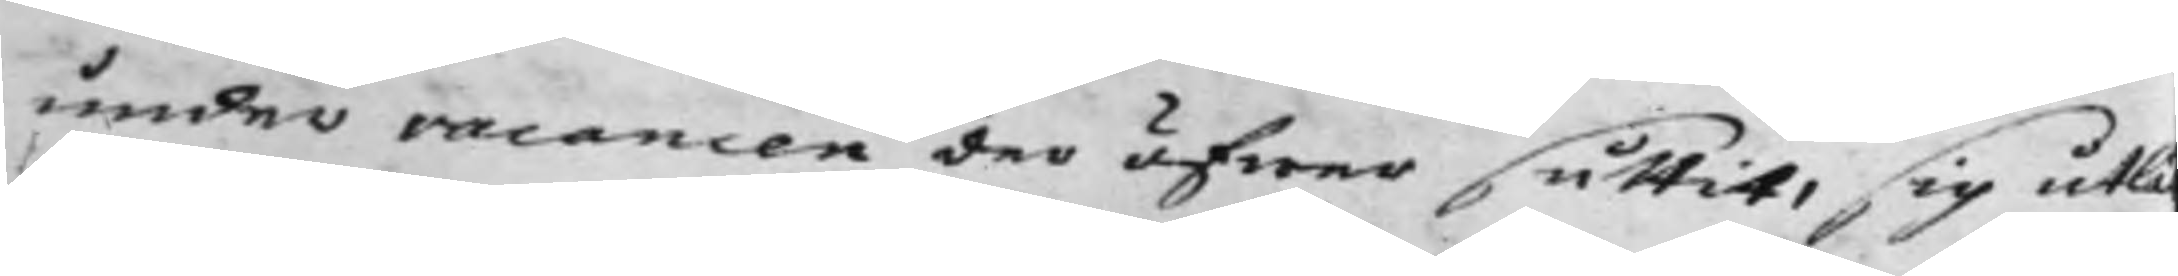under vacancen der öfwer suttit, sig utlä
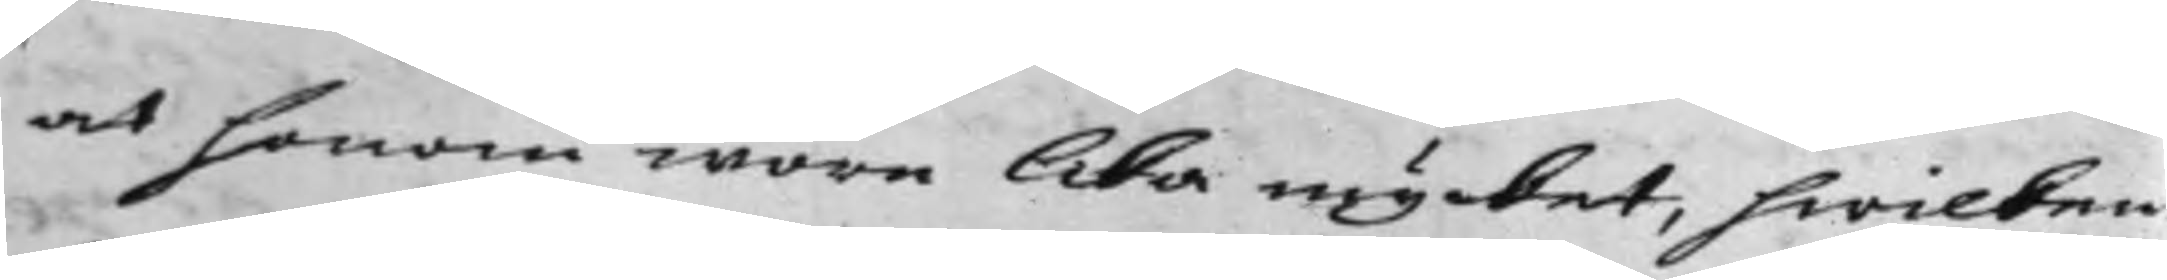at honom wore lika mycket, hwilcken
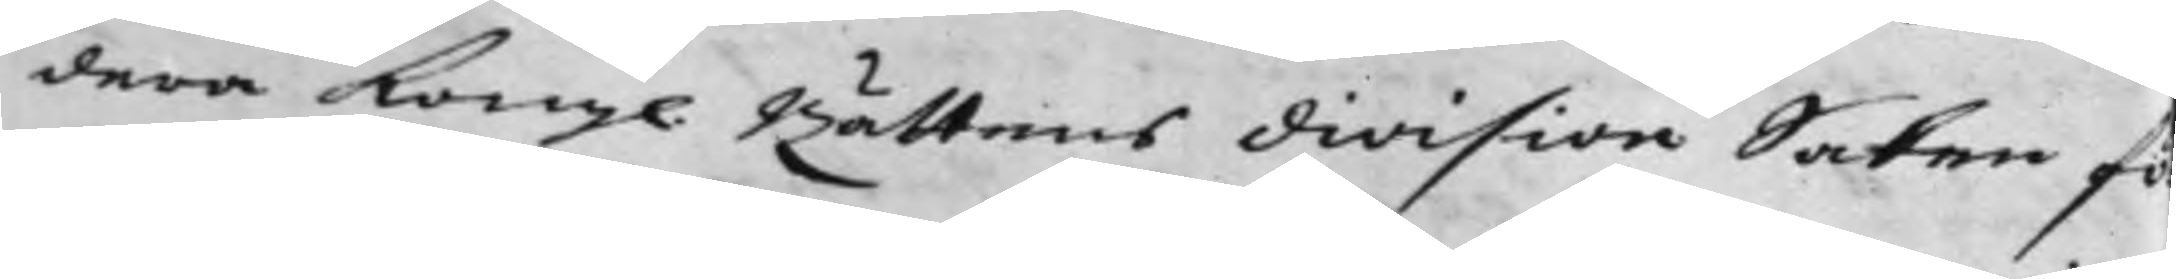dera Kong. Rättens division Saken fö¬
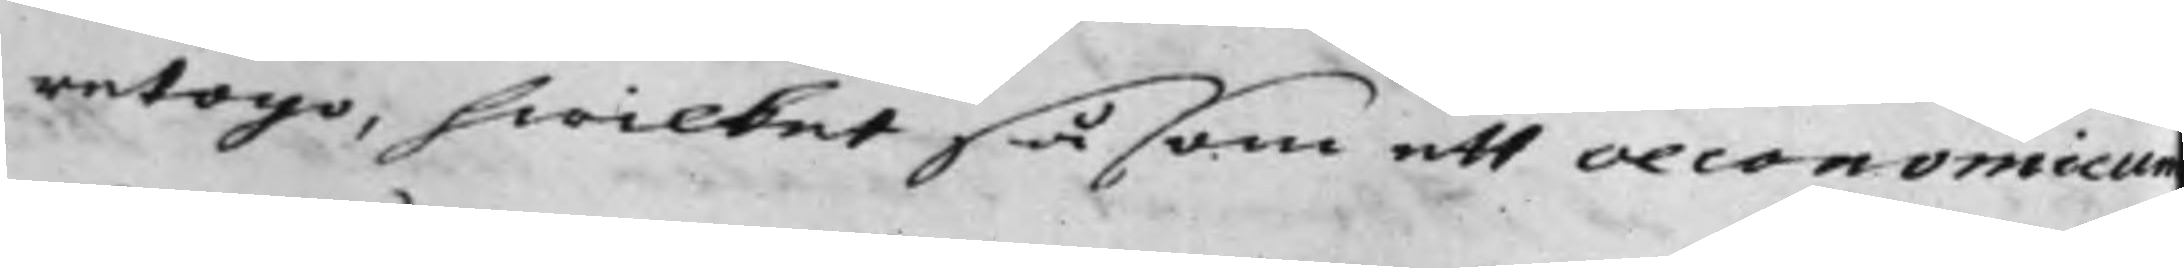retago, hwilket såsom ett oeconomicum
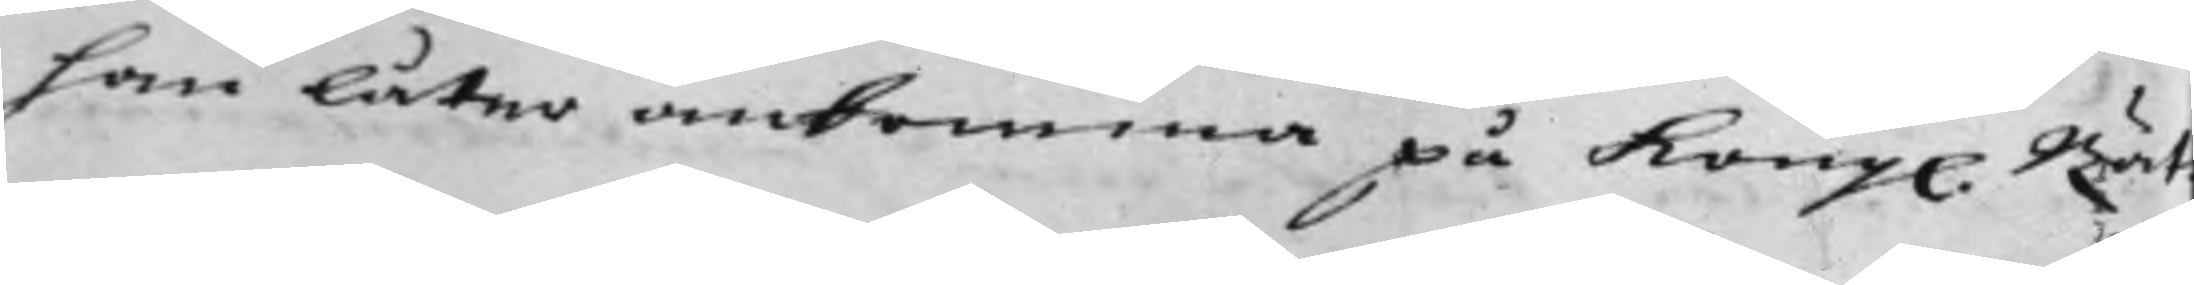han låter ankomma på Kong. Rät¬
